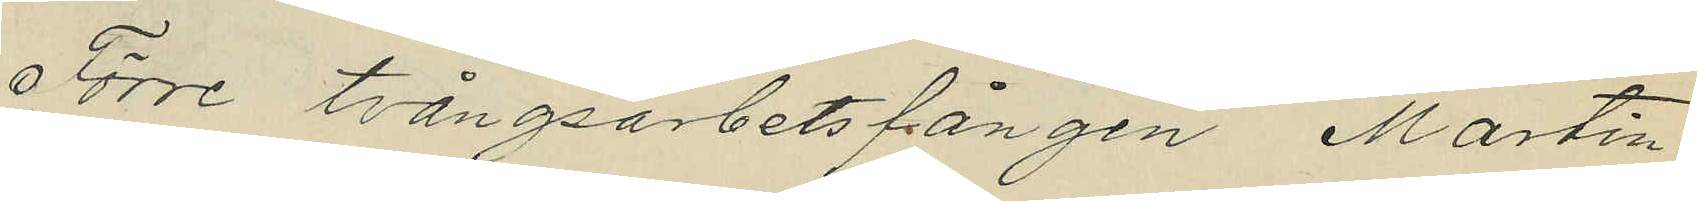Förre tvångsarbetsfången, Martin
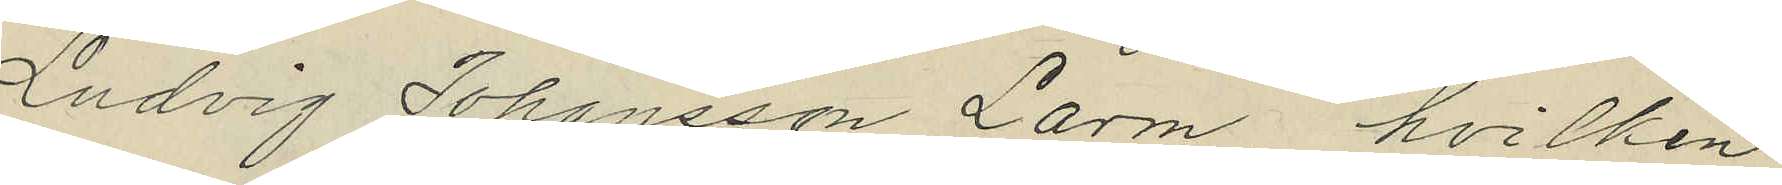Ludvig Johansson Larm, hvilken
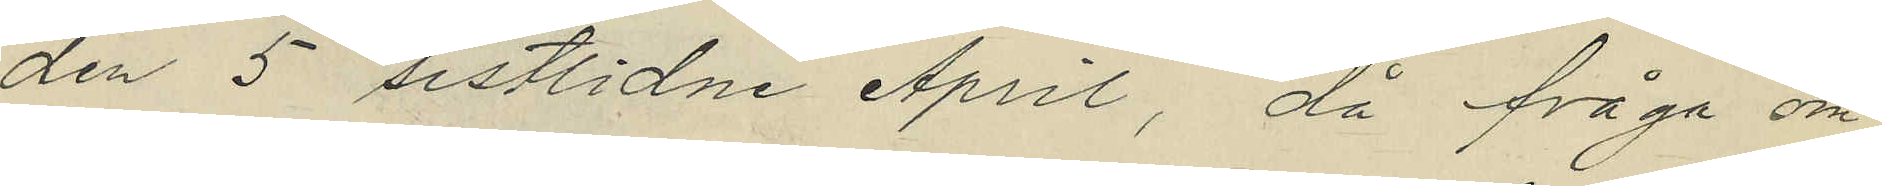den 5 sistlidne April, då fråga om
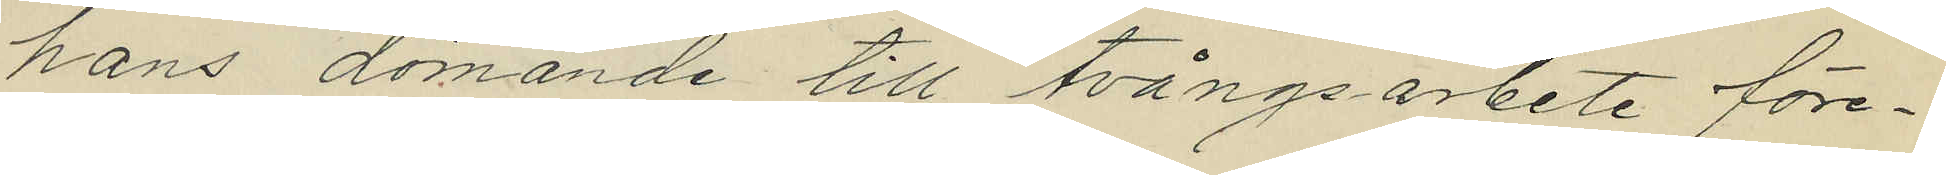hans dömande till tvångsarbete före¬
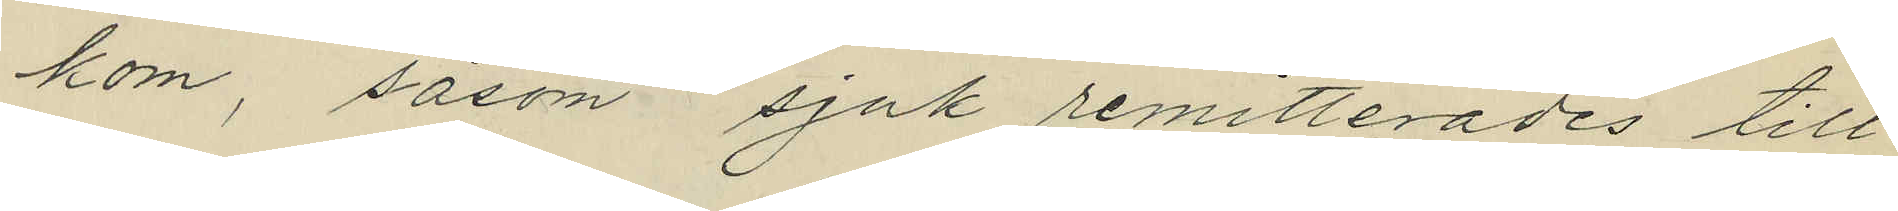kom, såsom sjuk remitterades till
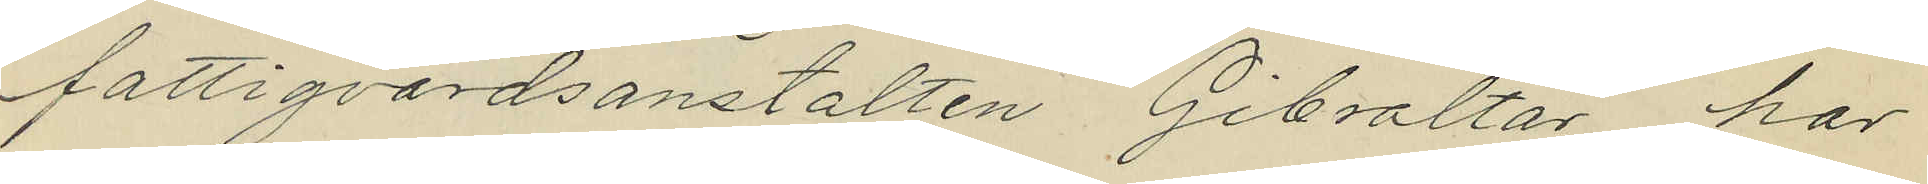fattigvårdsanstalten Gibraltar har
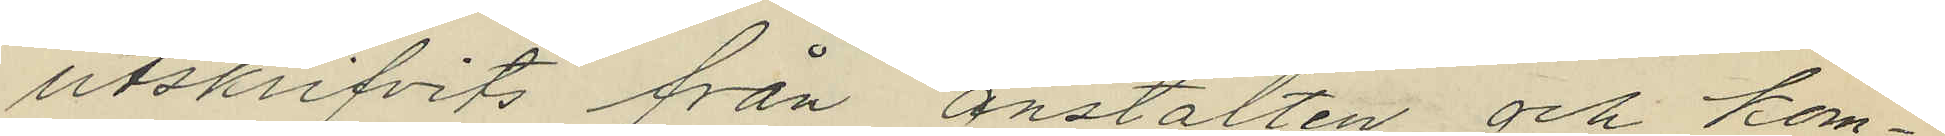utskrifvits från anstalten och kom¬
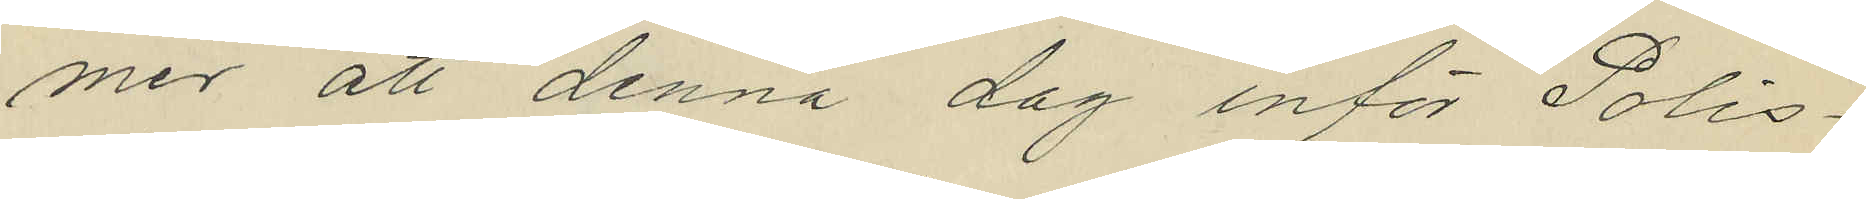mer att denna dag inför Polis¬
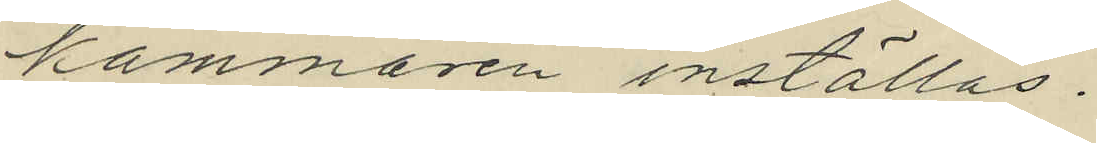kammaren inställas.
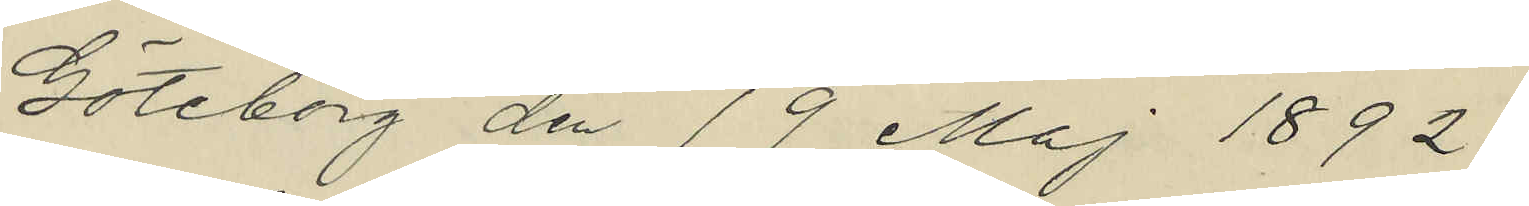Göteborg den 19 Maj 1892.
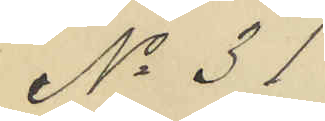No 31
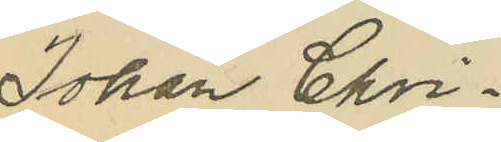Johan Chri¬
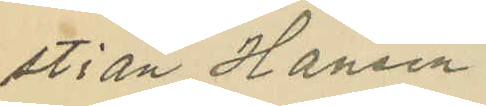stian Hansen.
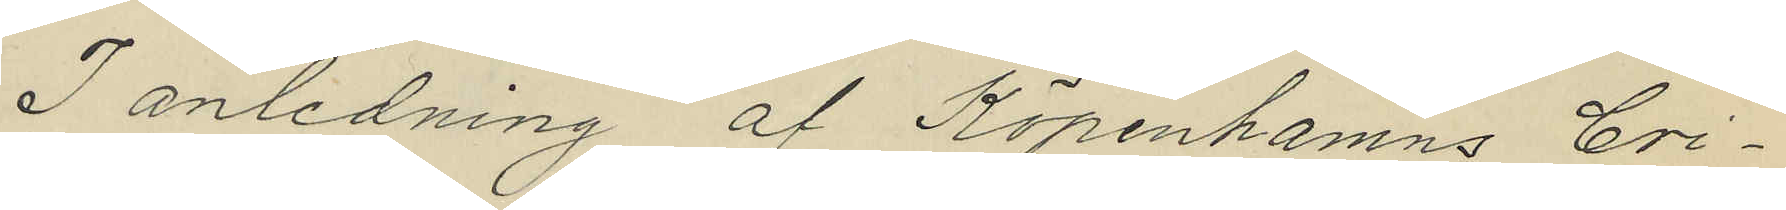I anledning af Köpenhamns Cri¬
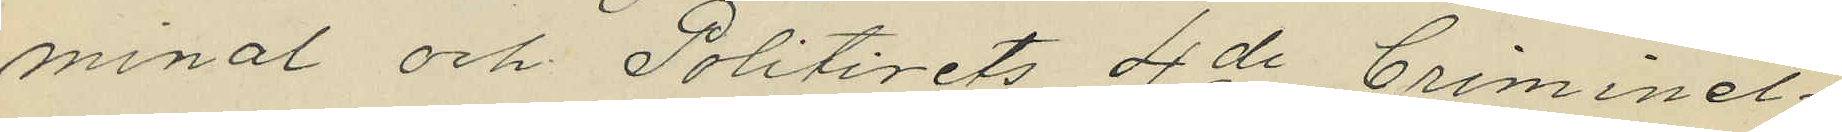minal och Politirets 4de Criminel¬
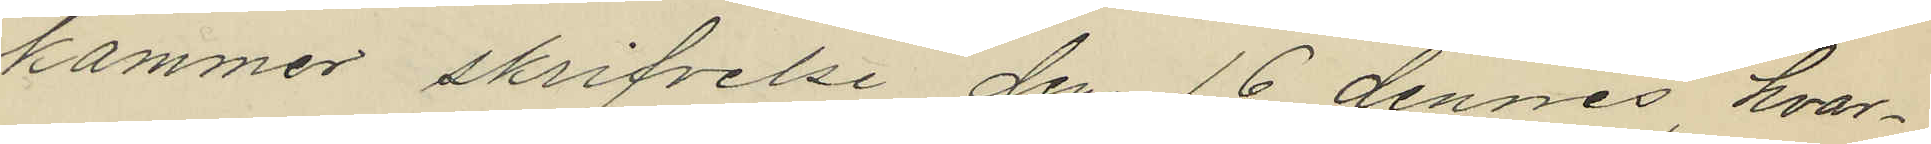kammer skrifvelse den 16 dennes, hvar¬
